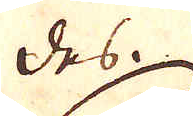des.
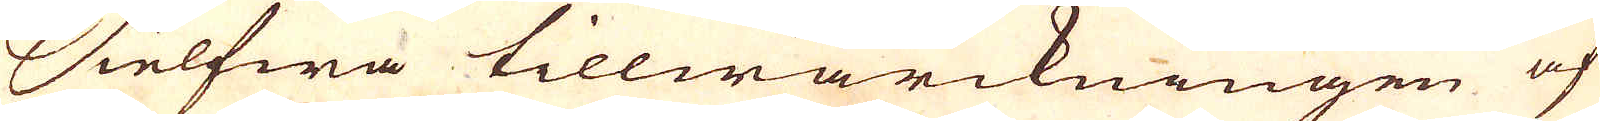Sielfwa tillwärckningen af
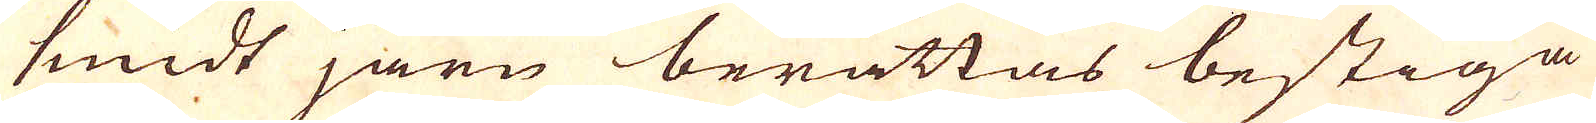smidt järn berättas bestiga
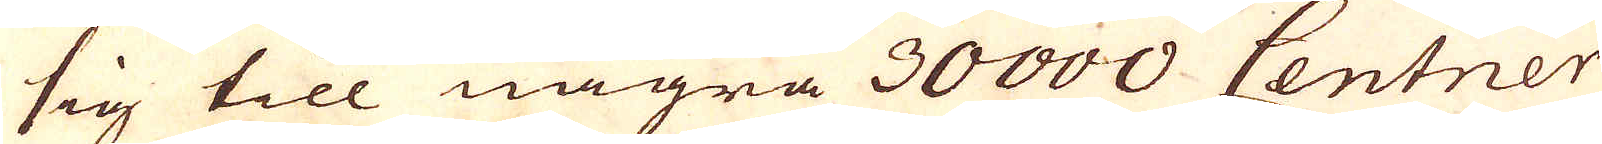sig till några 30000 Centner
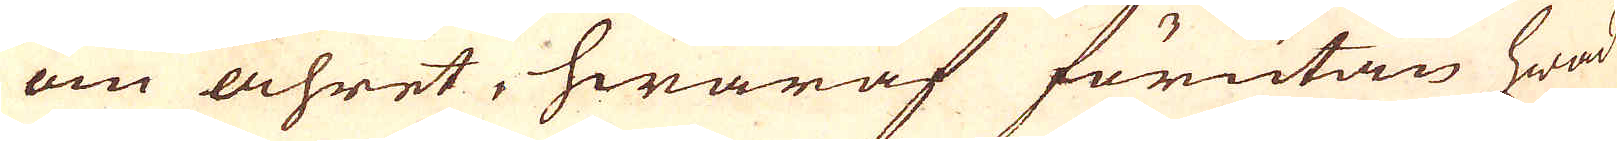om åhret, hwaraf förutan hwad
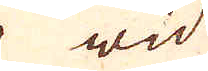wid
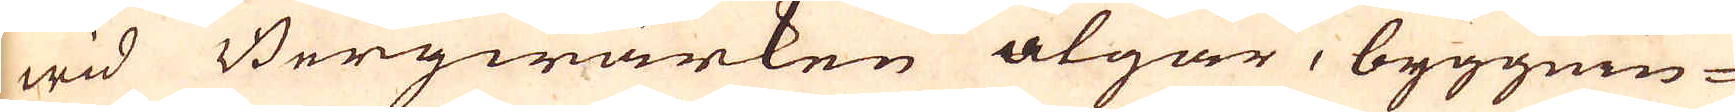wid Bergwärken åtgår, byggnin-
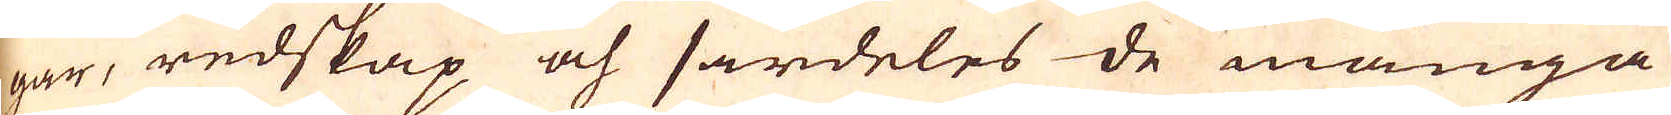gar, redskap och särdeles de många
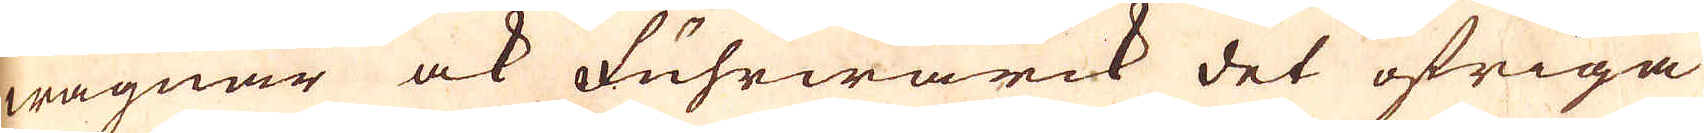wagnar ock Fuhrwärck det öfriga
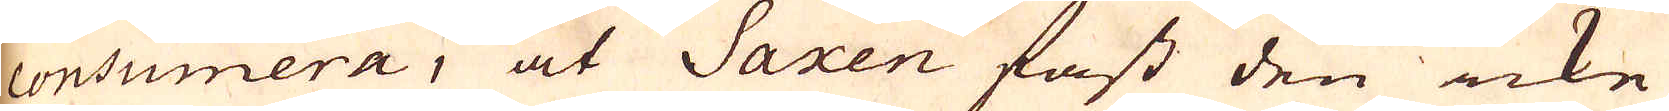consumera, at Saxen fast den icke
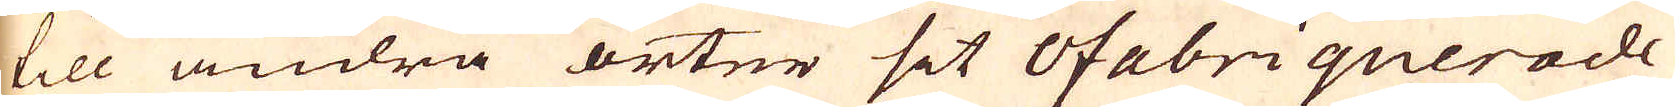till andra orter sit Ofabriquerade
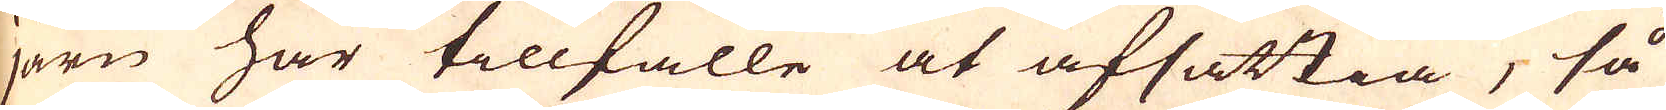järn har tillfälle at afsättia, så
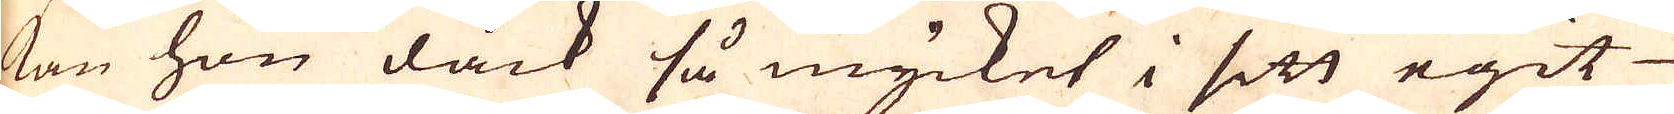kan hon dåck så mycket i sitt egit
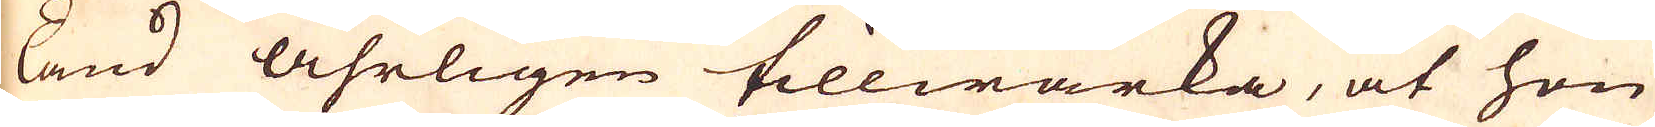land åhrligen tillwärka, at hon
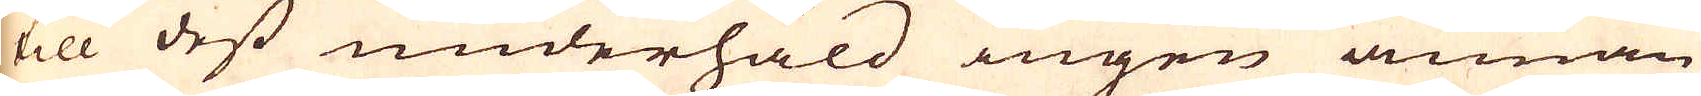till dess underhåld ingen annan
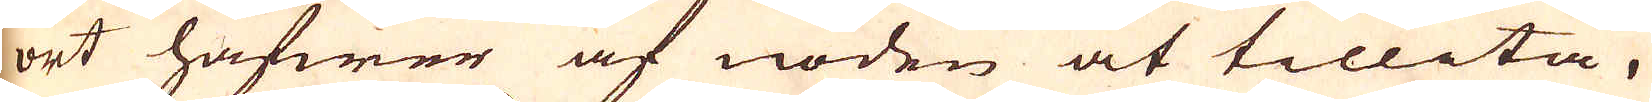ort hafwer af nöden at tillita.
